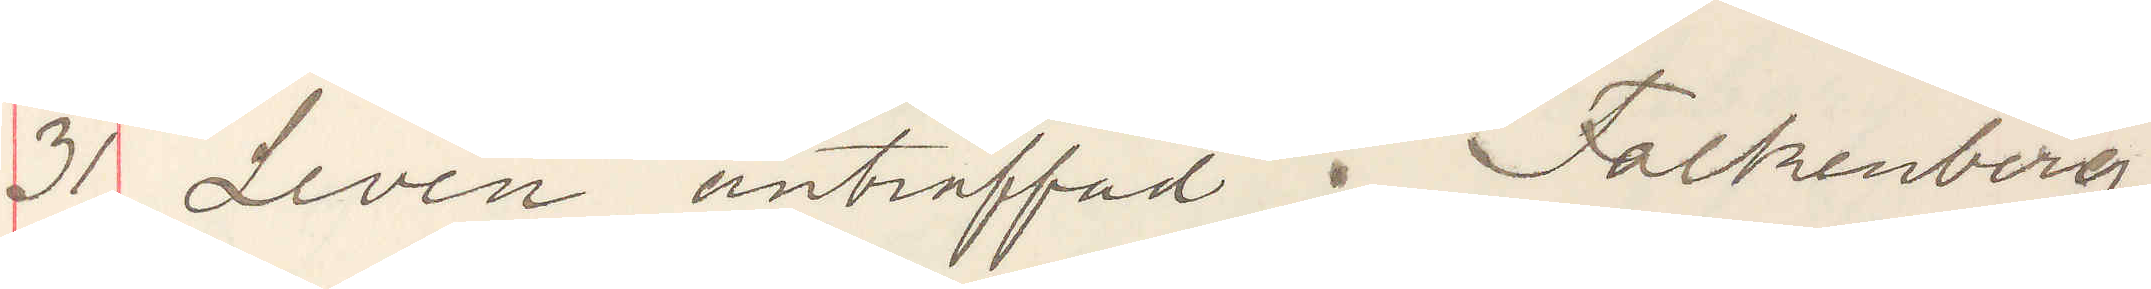31 Levén anträffad i Falkenberg.
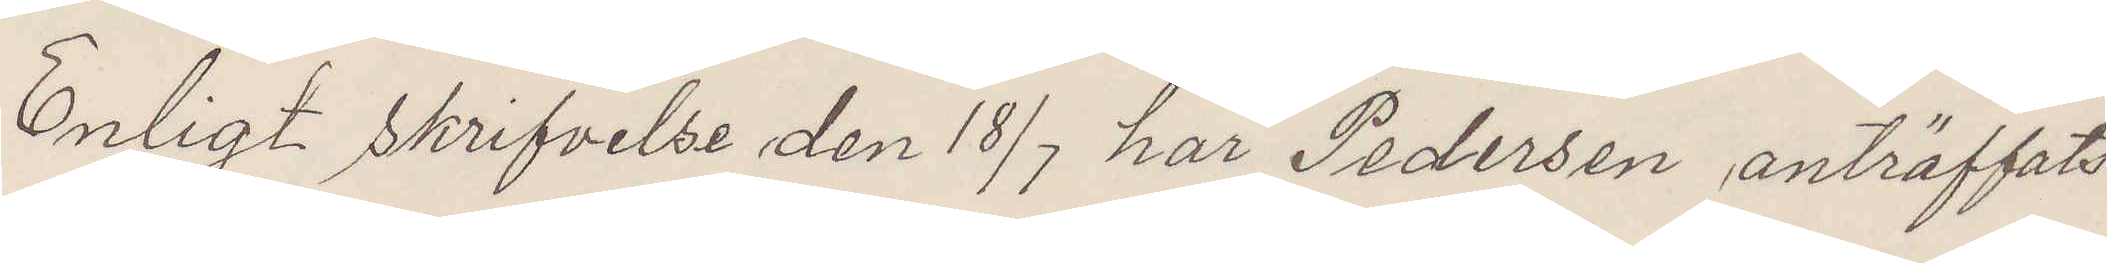Enligt skrifvelse den 18/7 har Pedersen anträffats
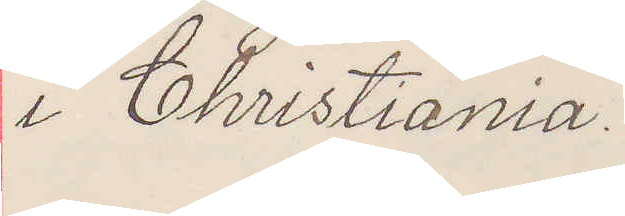i Christiania.
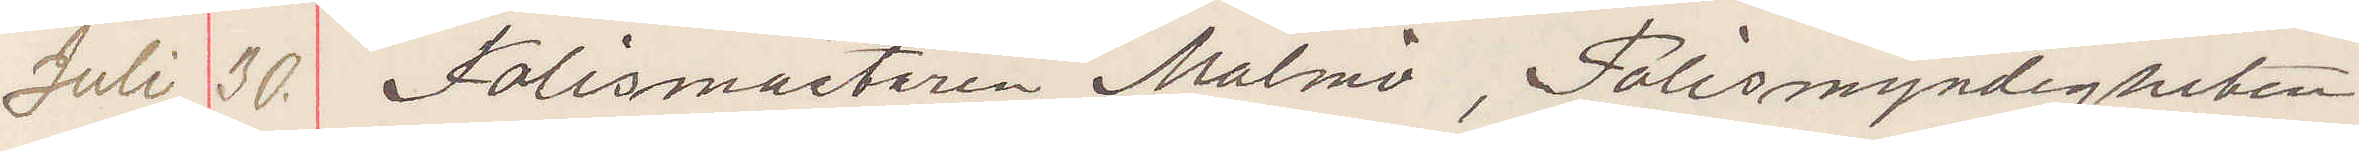Juli 30. Polismästaren Malmö, Polismyndigheten
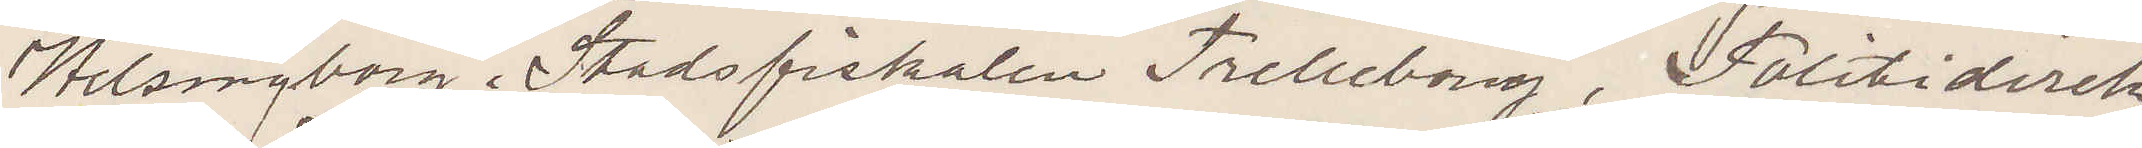Helsingborg. Stadsfiskalen Trelleborg, Polisdirek¬
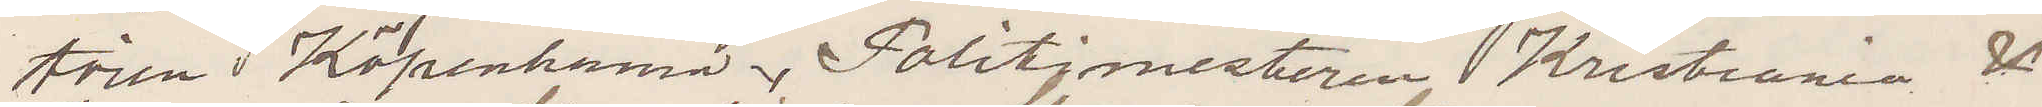tören Köpenhamn, Politimesteren Kristiania &
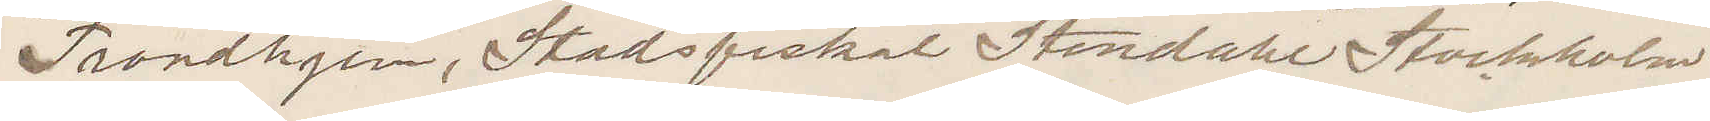Trondhjem, Stadsfiskal Stendahl Stockholm.
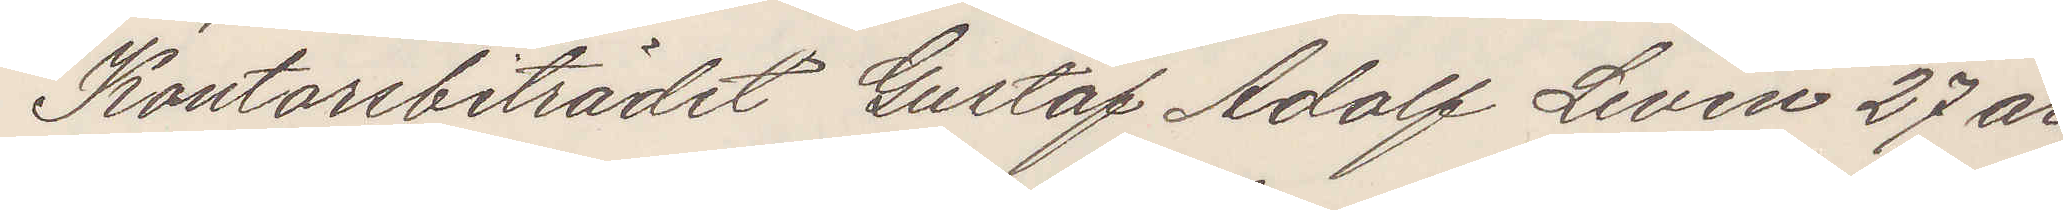Kontorsbiträdet Gustaf Adolf Levén 27 år
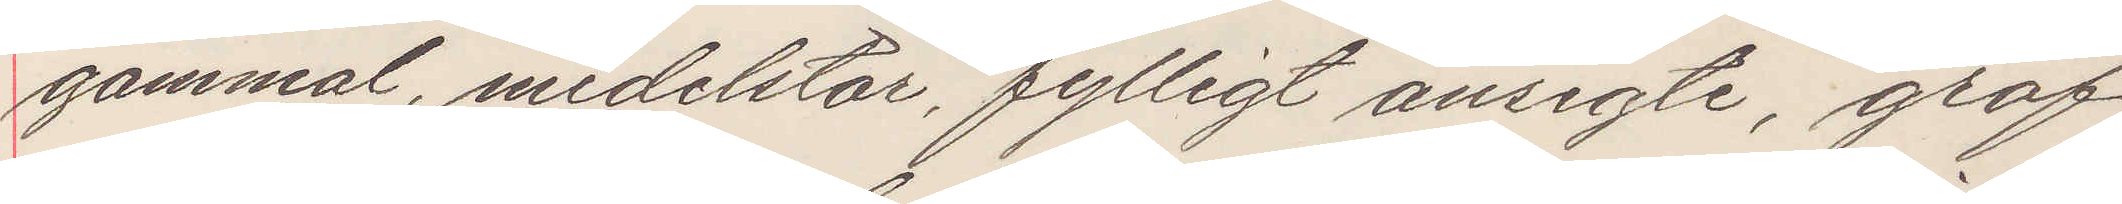gammal, medelstor, fylligt ansigte, grof
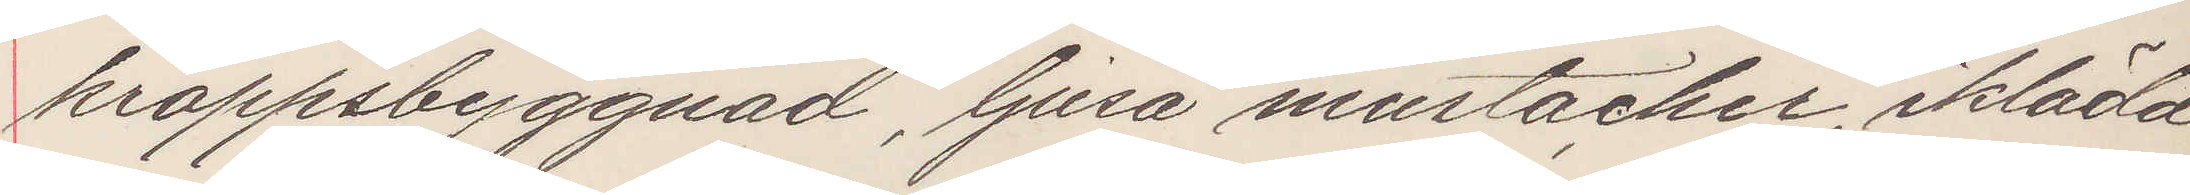kroppsbyggnad, ljusa mustacher, iklädd
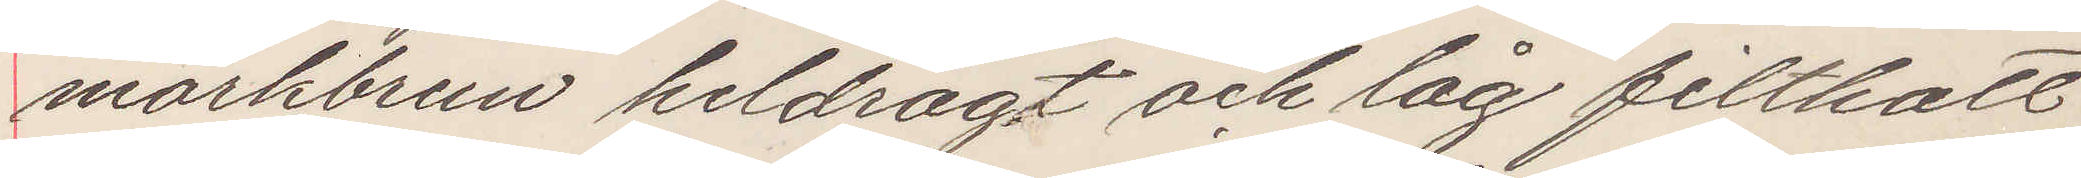mörkbrun heldrägt och låg filthatt
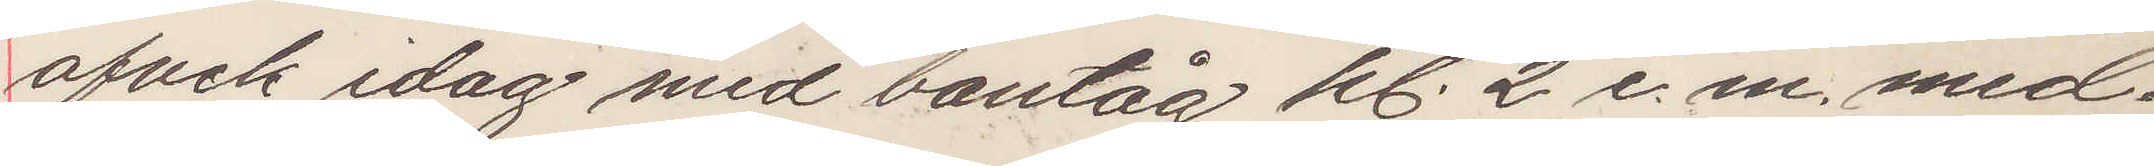afvek idag med bantåg kl 2 e. m. med¬
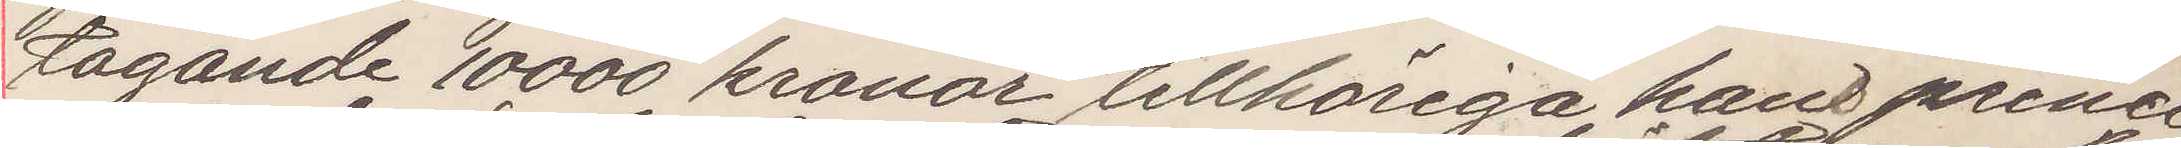tagande 10000 kronor tillhöriga hans princi¬
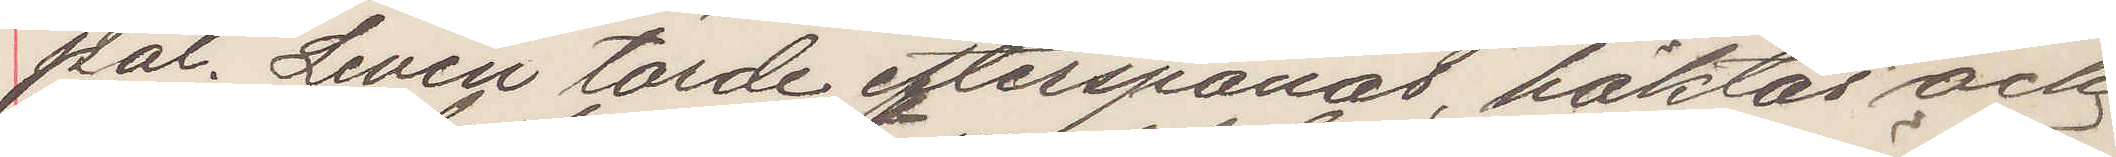pal. Levén torde efterspanas, häktas och
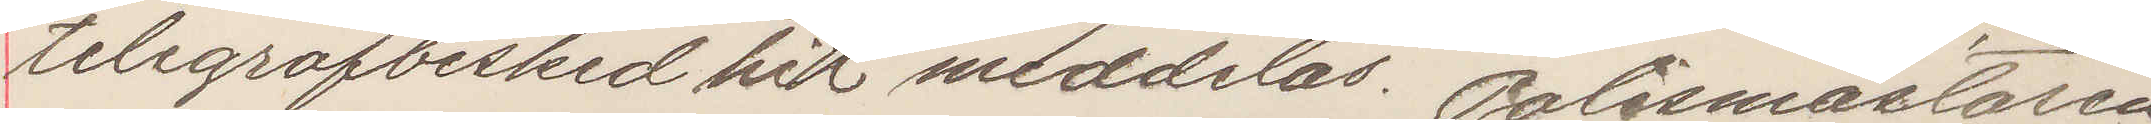telegrafbesked hit meddelas. Polismästaren
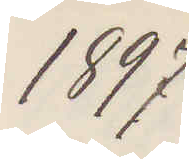1897
